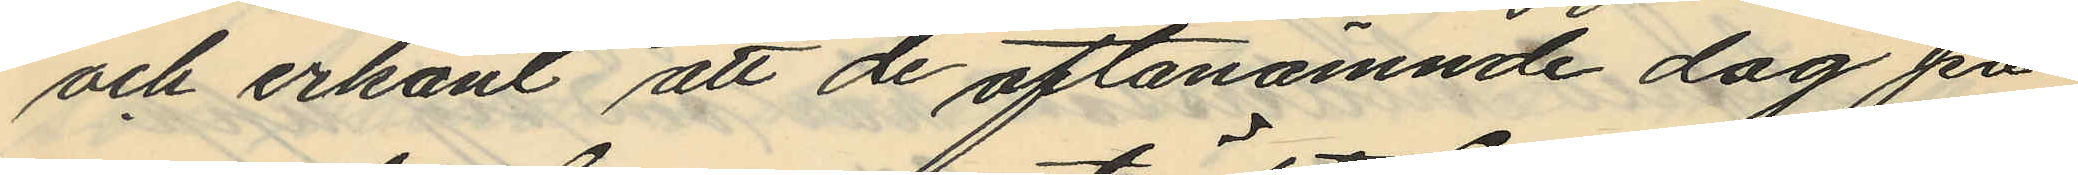och erkänt att de oftanämnde dag på
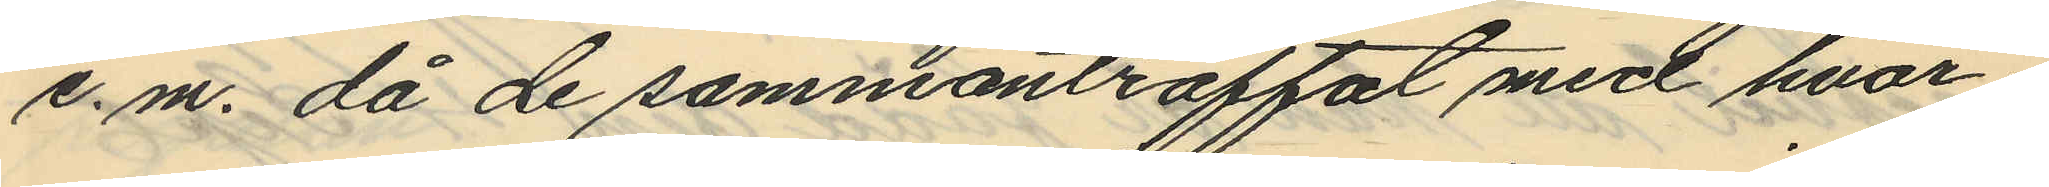e.m. då de sammanträffat med hvar¬
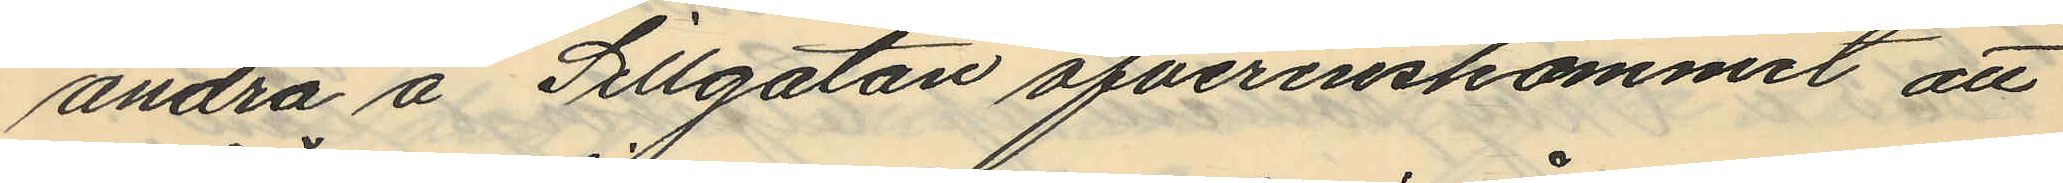andra å Sillgatan öfverenskommit att
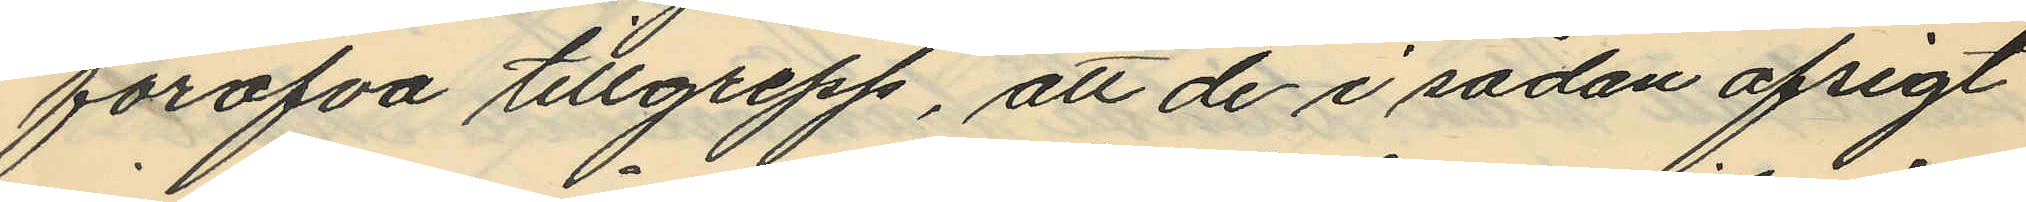föröfva tillgrepp, att de i sådan afsigt
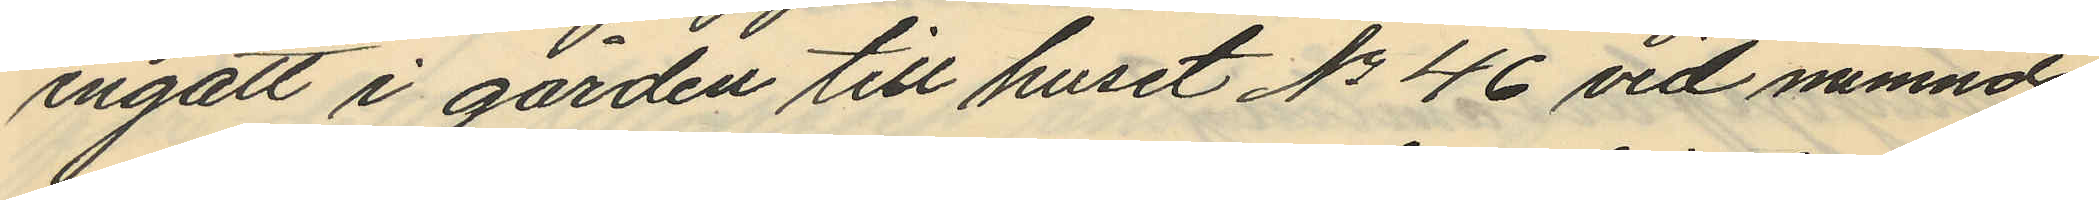ingått i gården till huset No 46 vid nämnda
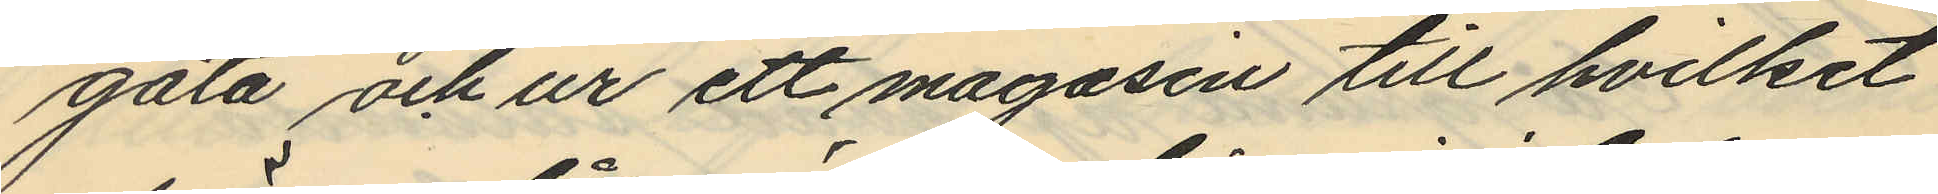gata och ur ett magasin till hvilket
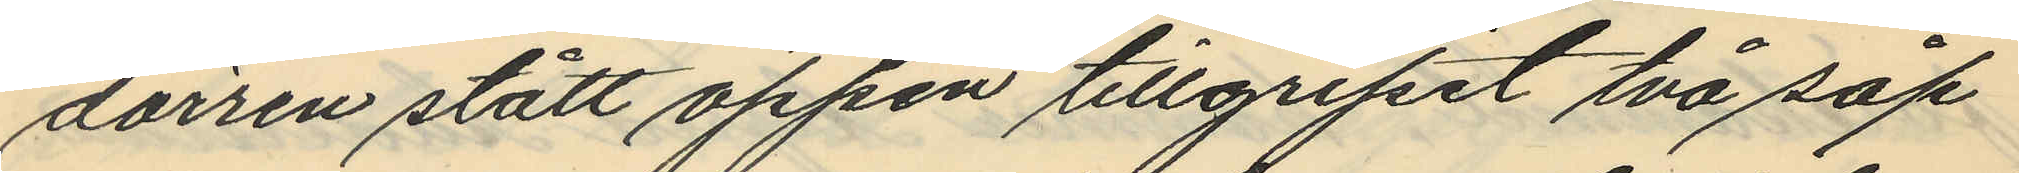dörren stått öppen tillgripit två såp¬
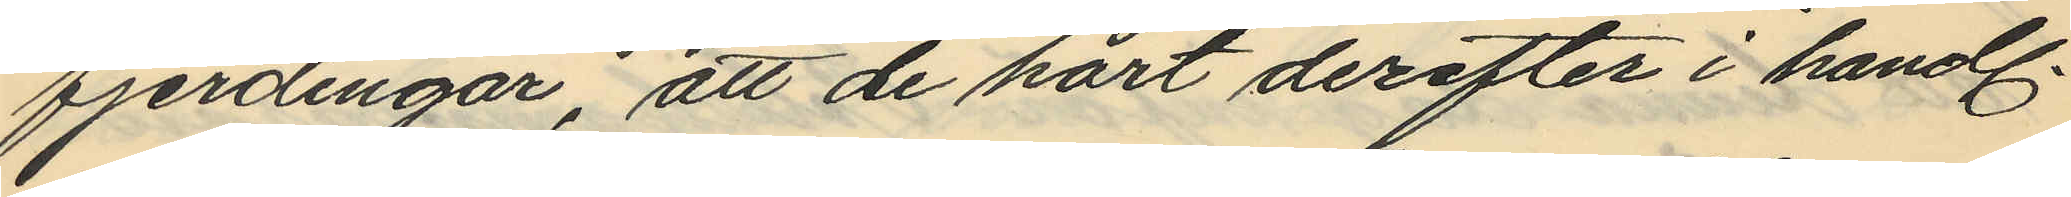fjerdingar, att de kort derefter i handl.
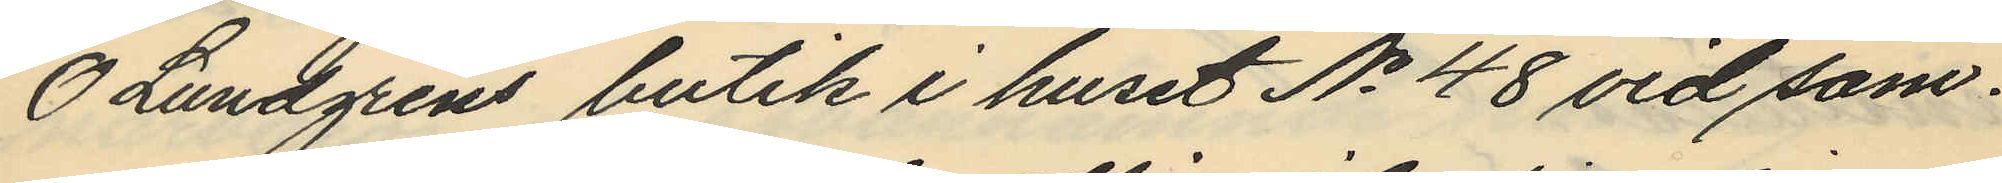O Lundgrens butik i huset No 48 vid sam¬
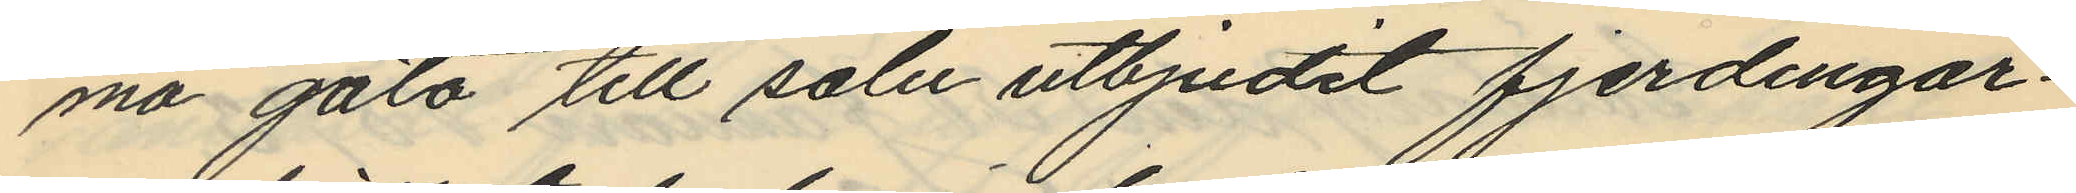ma gato till salu utbjudit fjerdingar¬
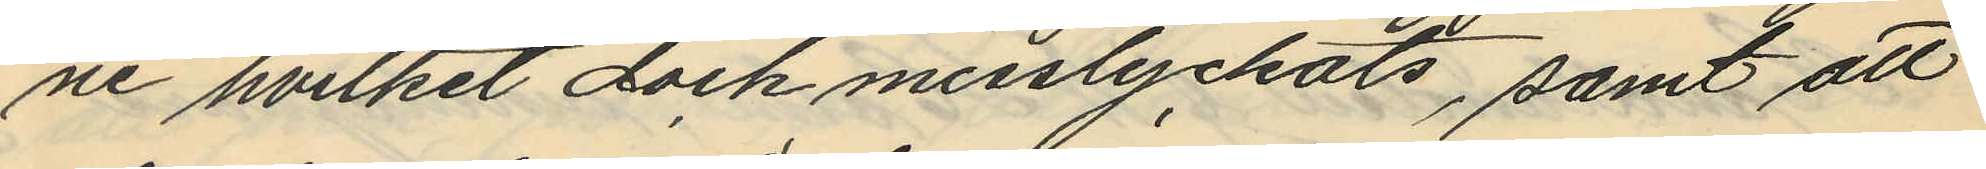ne hvilket dock misslyckats, samt att
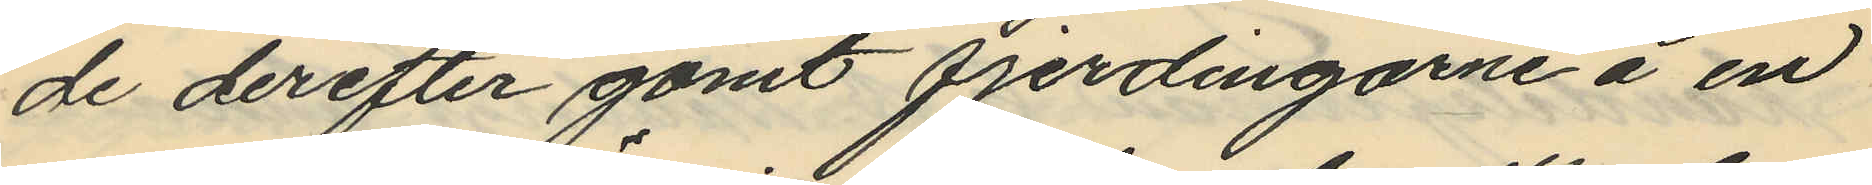de derefter gömt fjerdingarne å en
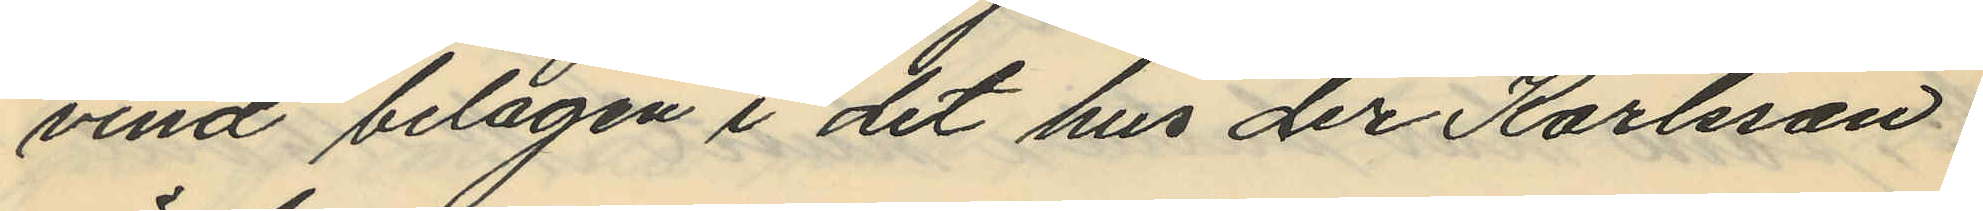vind belägen i det hus der Karlsson
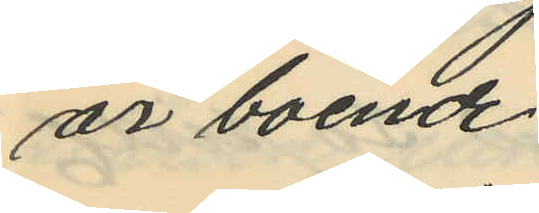är boende.
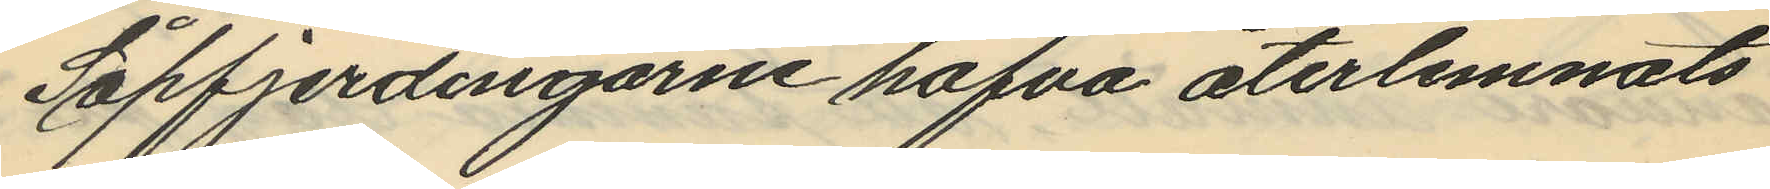Såpfjerdingarne hafva återlemnats
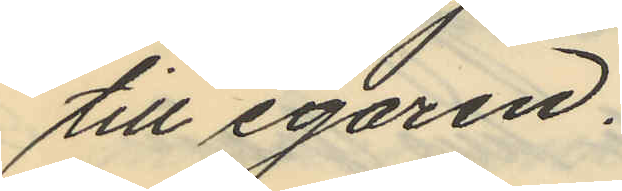till egaren.
